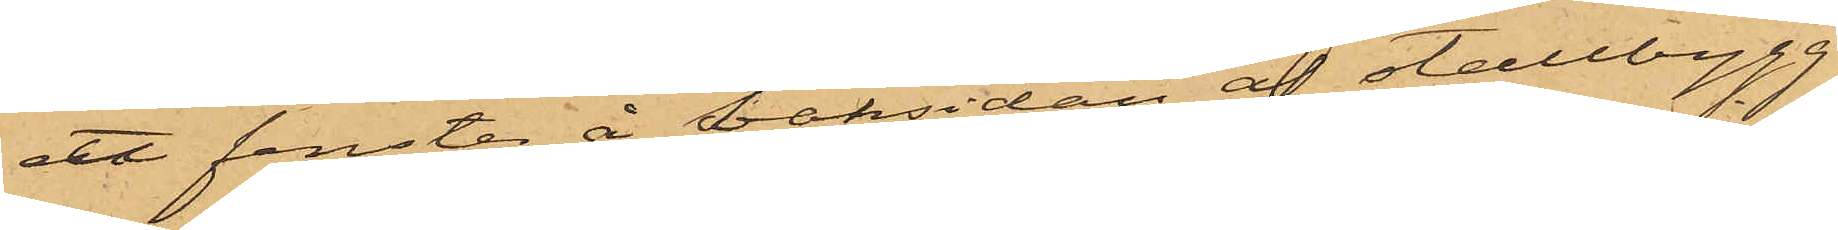ett fönster å baksidan af stallbygg¬
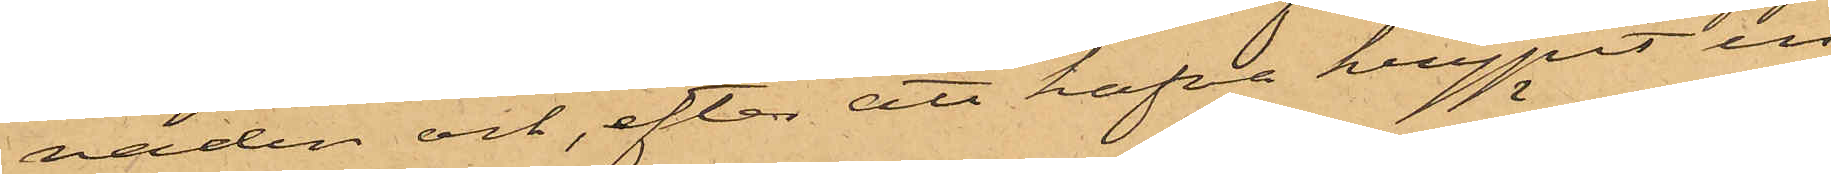naden och, efter att hafva krypit in
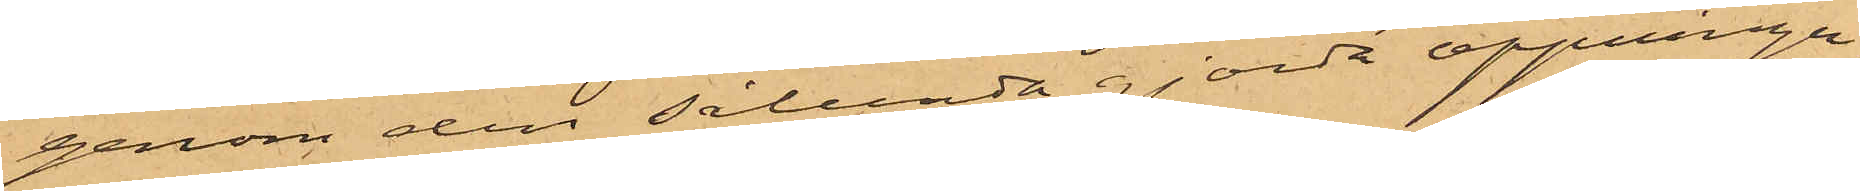genom den sålunda gjorda öppningen,
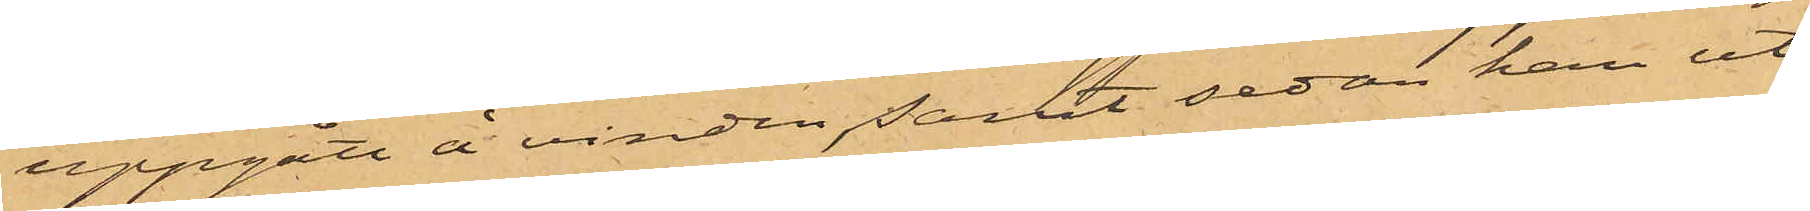uppgått å vinden, samt sedan han ut¬
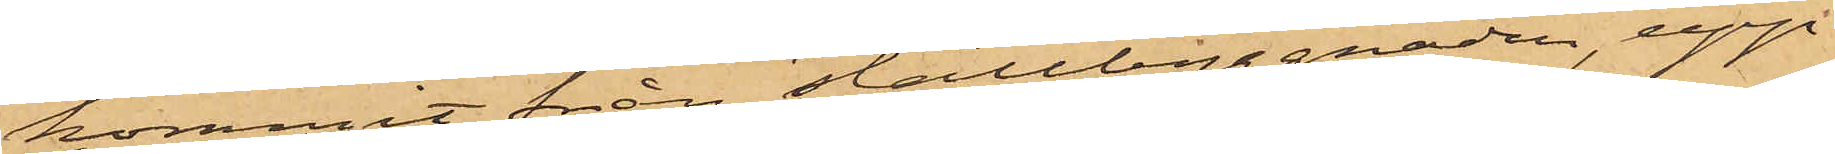kommit från stallbyggnaden, upp¬
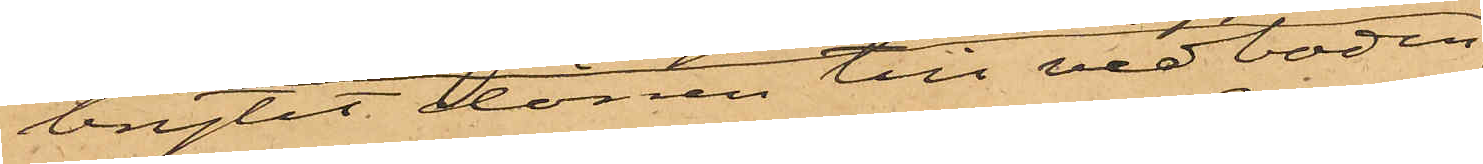brytit dörren till vedboden
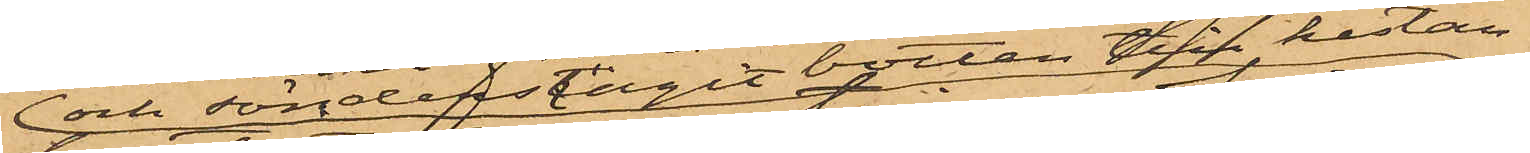och sönderslagit botten till kistan,
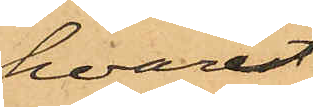hvarest
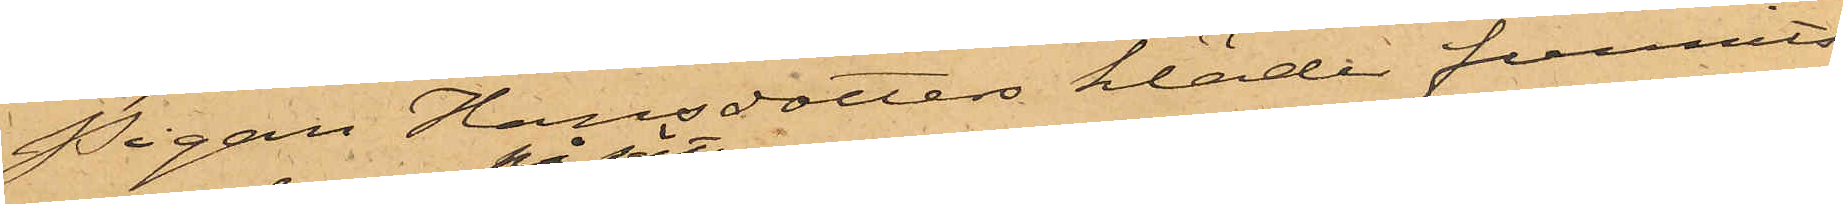Pigan Hansdotters kläder funnits;
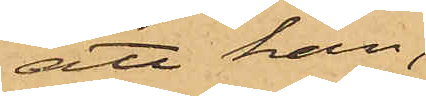att han,
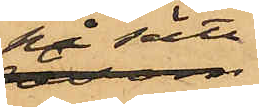på sätt
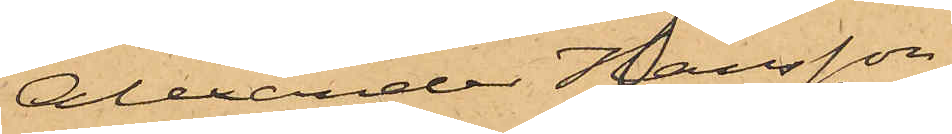Alexander Hansson
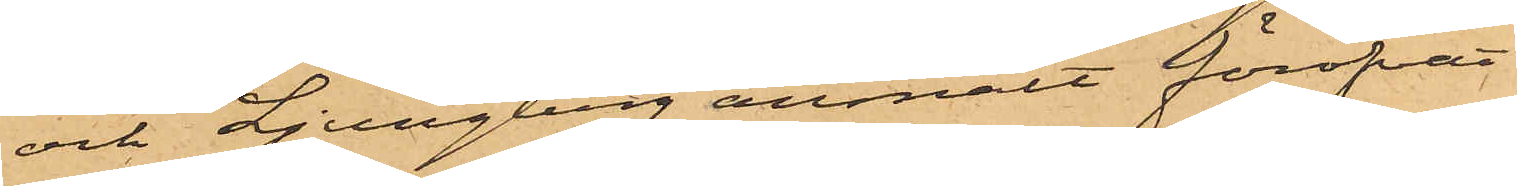och Ljungberg anmält föröfvat
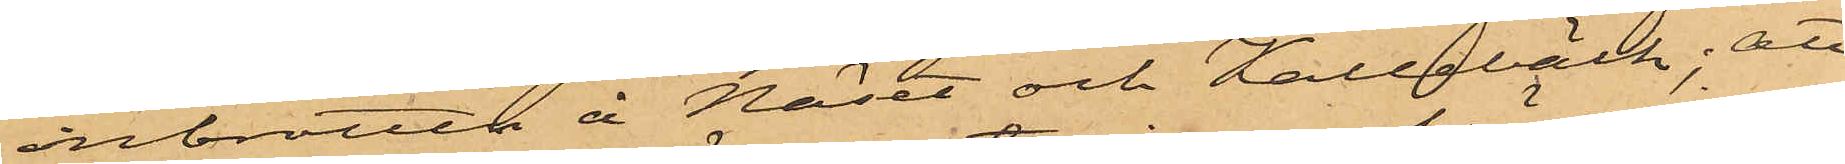inbrotten å Näset och Kallebäck; att
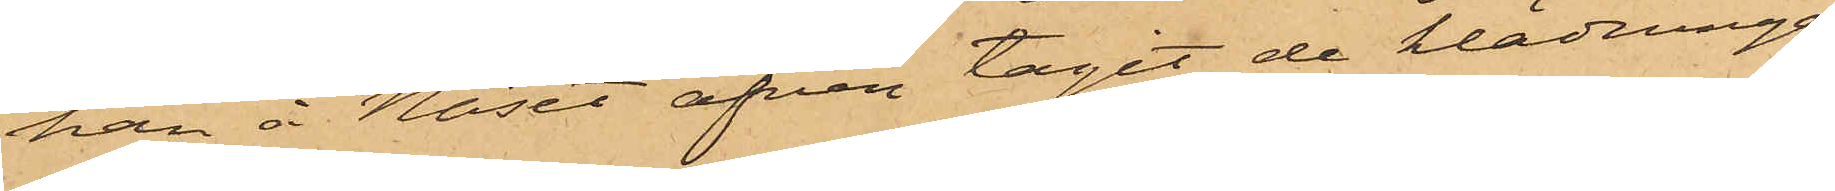han å Näset äfven tagit de klädningar
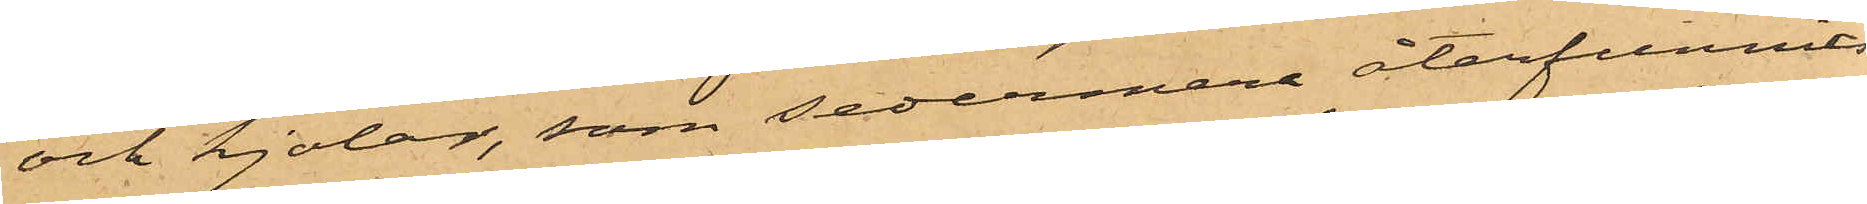och kjolar, som sedermera återfunnits
